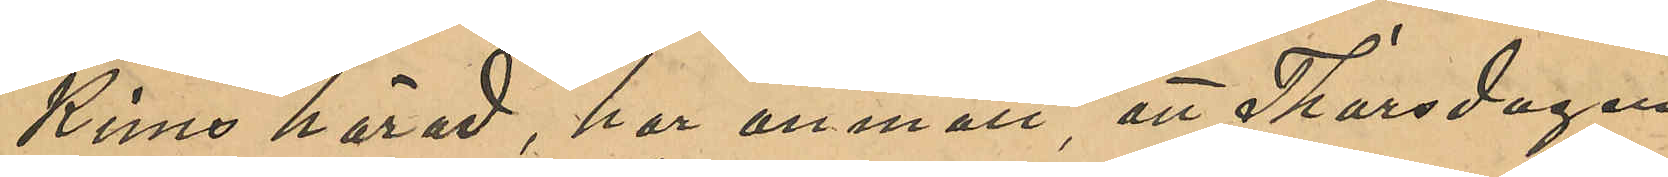kims härad, har anmält att Thorsdagen
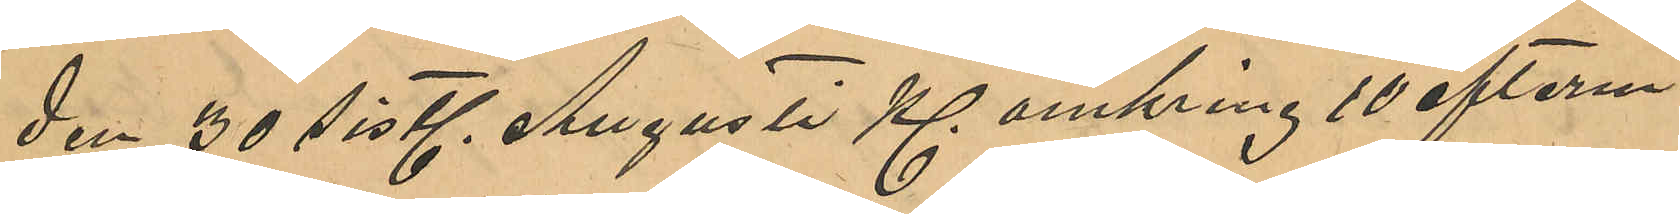den 30 sistl. Augusti Kl omkring 10 efterm.
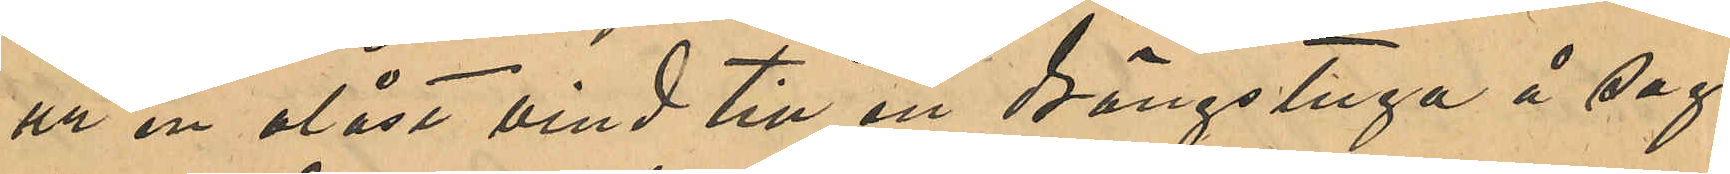ur en olåst vind till en drängstuga å sag¬
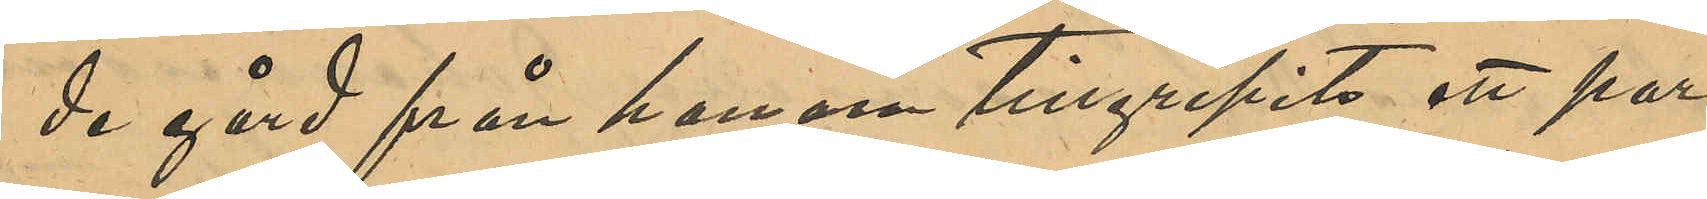de gård från honom tillgripits ett par
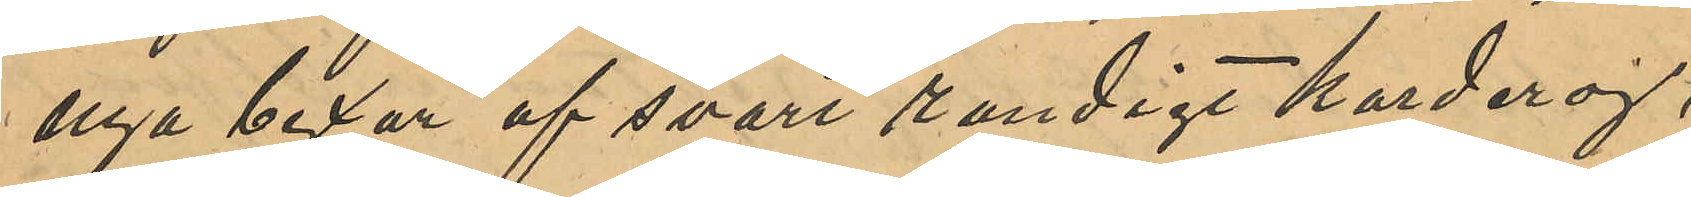nya byxor af svart randigt korderoj,
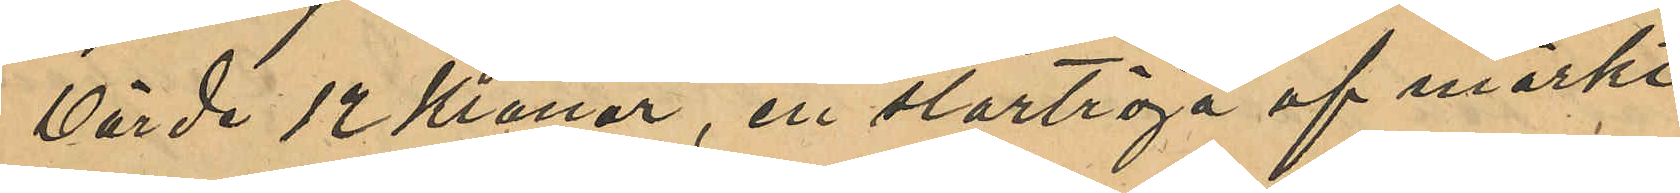värde 12 Kronor, en stortröja af mörkt
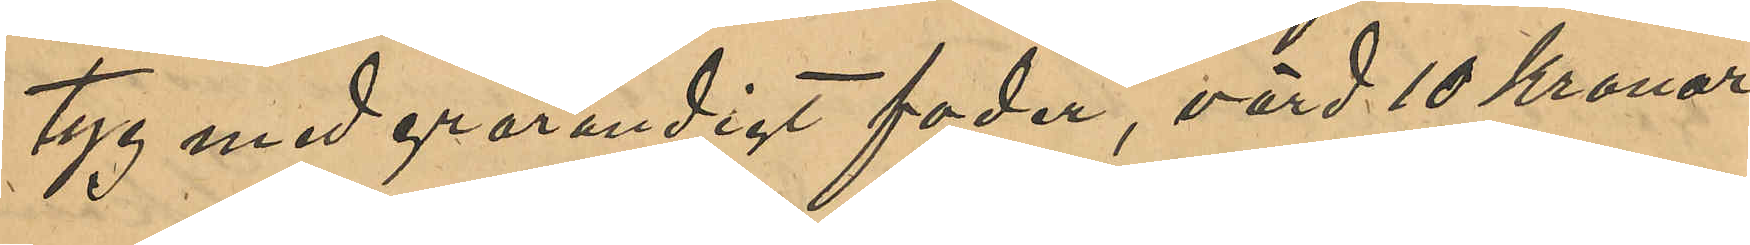tyg med grårandigt foder, värd 10 Kronor,
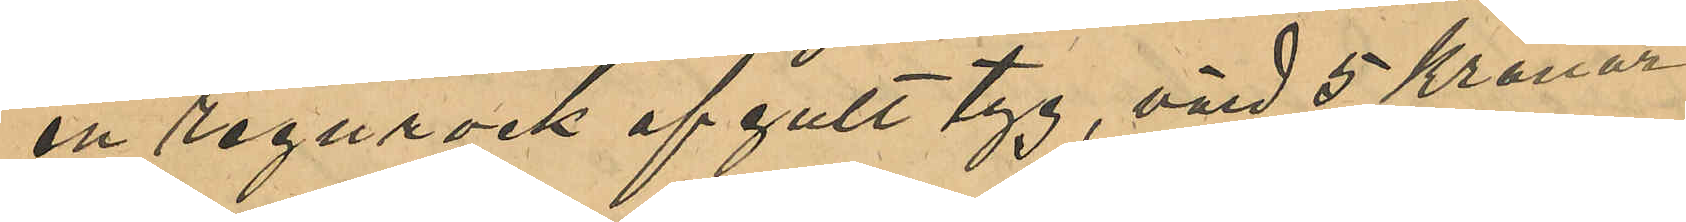en regnrock af gult tyg, värd 5 Kronor,
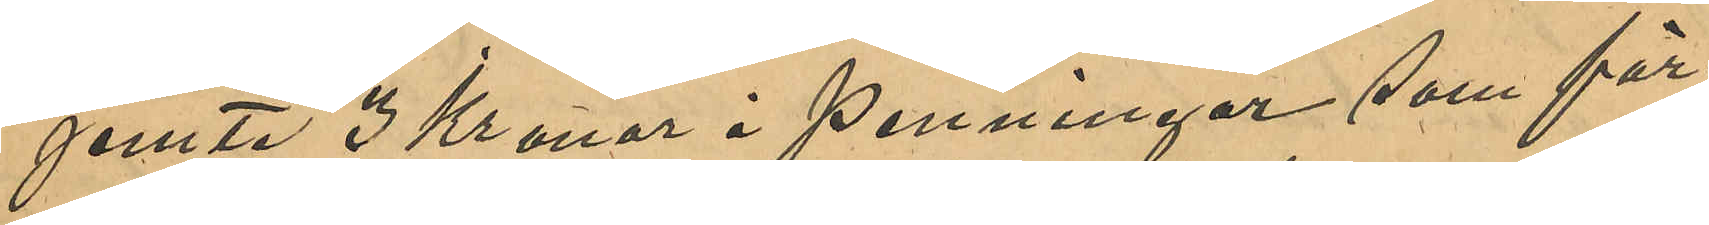jemte 3 Kronor i penningar som för¬
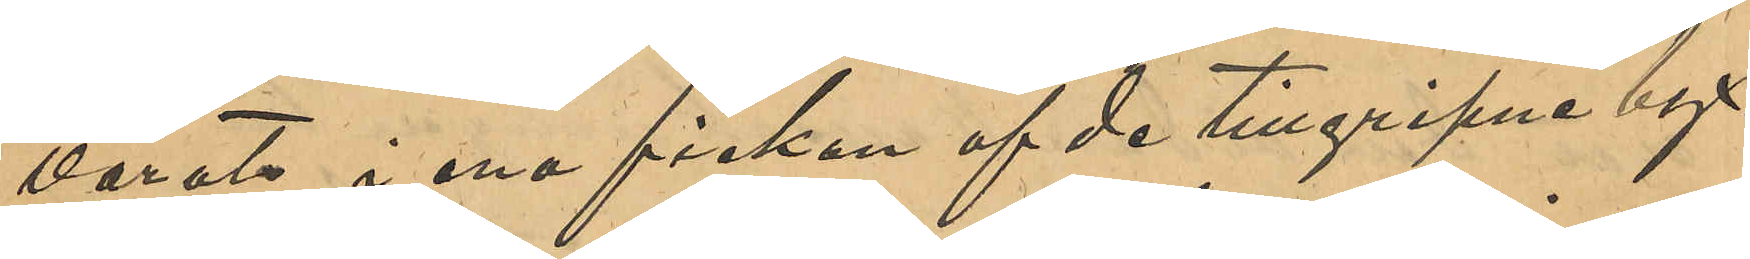varats i ena fickan af de tillgripne byx¬
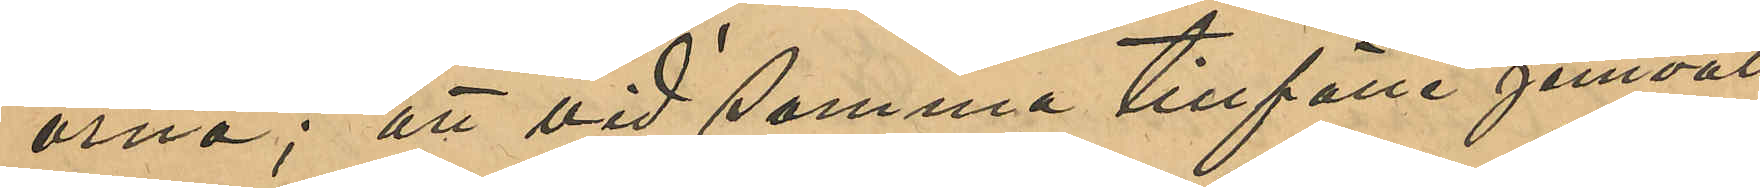orna; att vid samma tillfälle jemväl
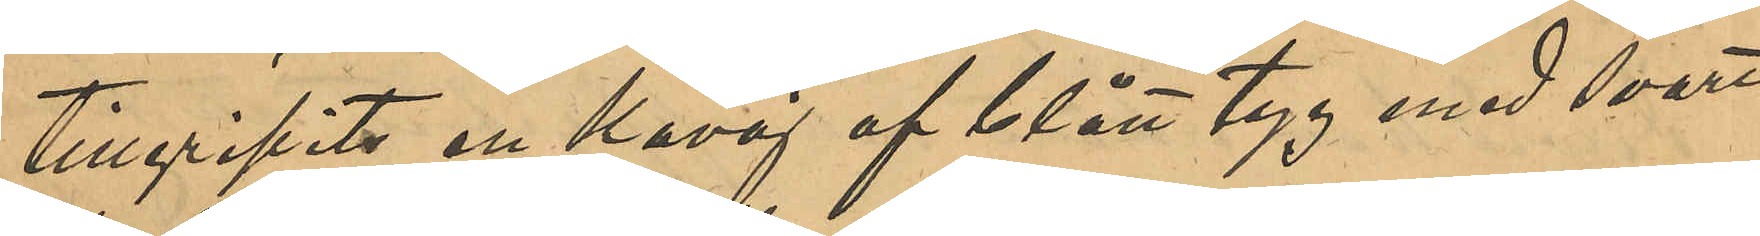tillgripits en kavaj af blått tyg med svart
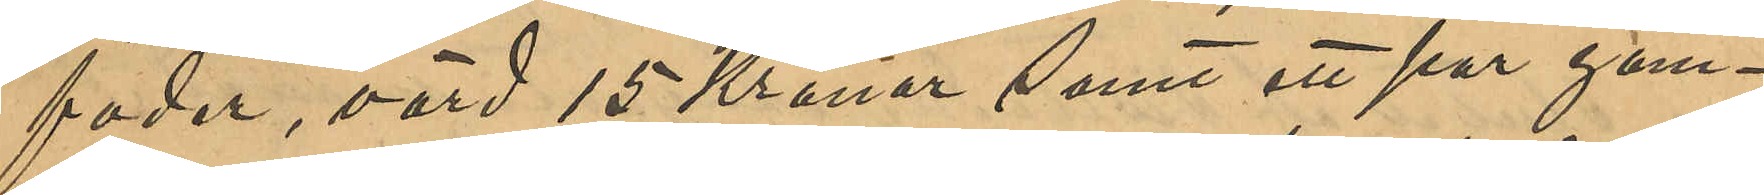foder, värd 15 Kronor samt ett par gam¬
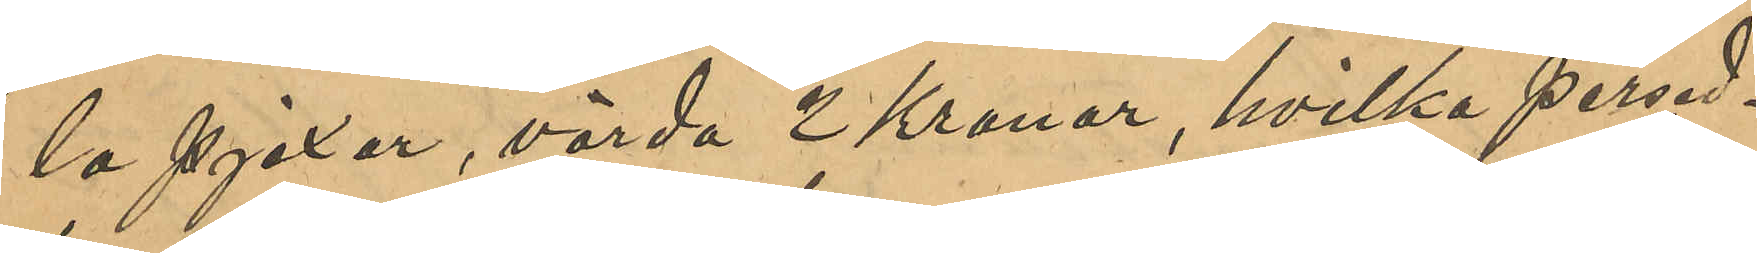la pjäxor, värda 2 Kronor, hvilka persed¬
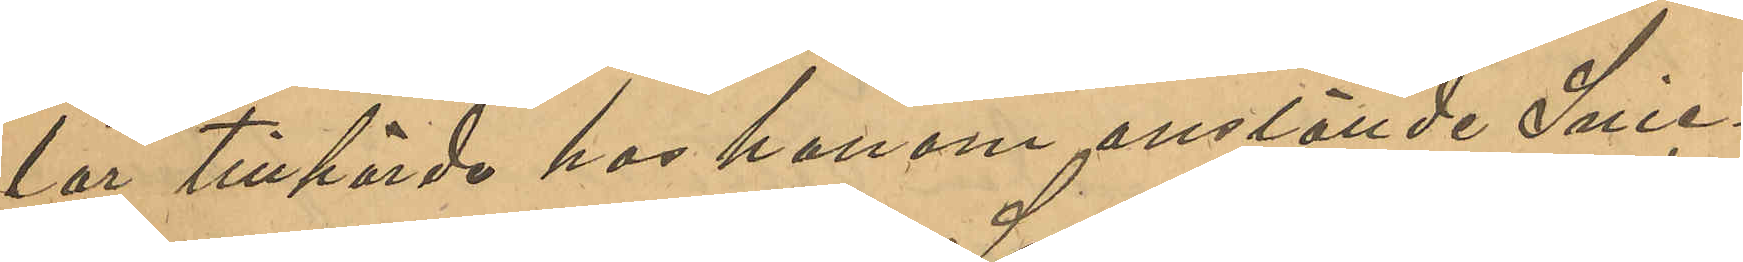lar tillhörde hos honom anställde Snic¬
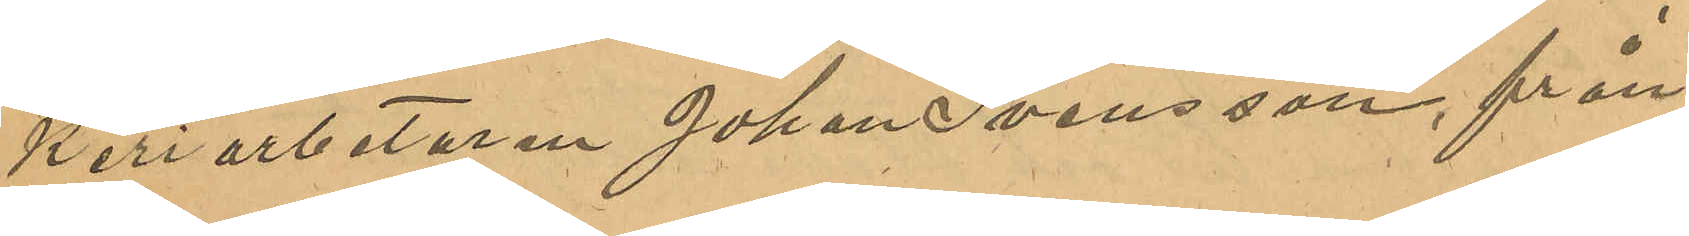keriarbetaren Johan Svensson, från
